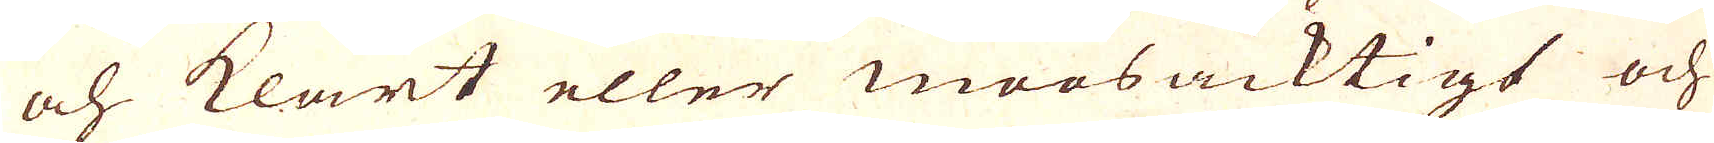och klart eller maasacktigt och
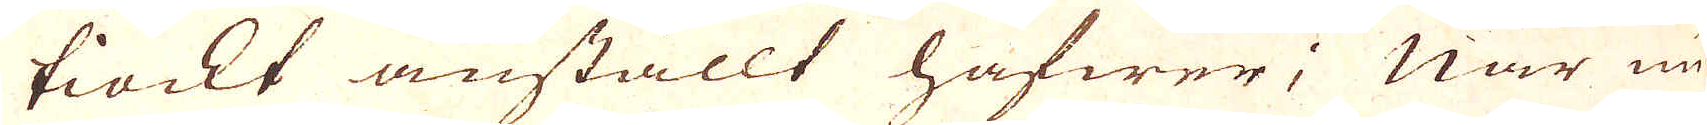tiockt anställt hafwer; När nu
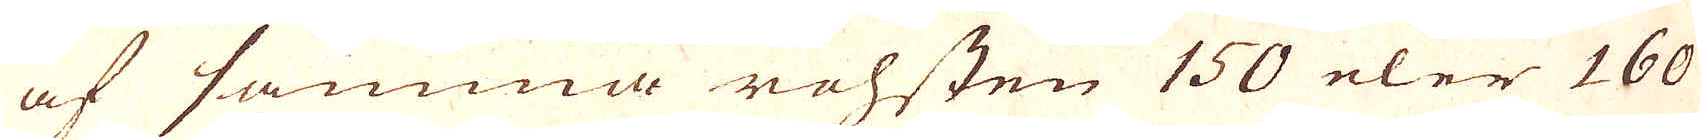af samma rohsten 150 eler 160
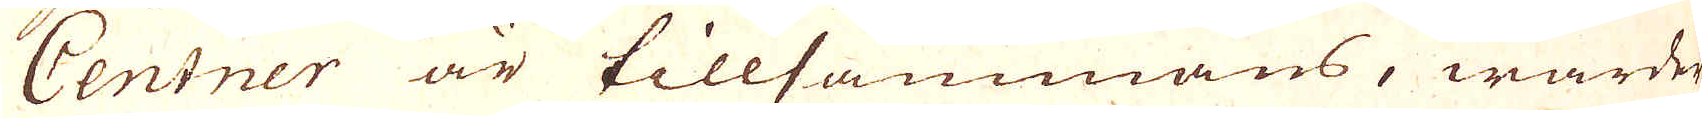Centner är tillsammans, warder
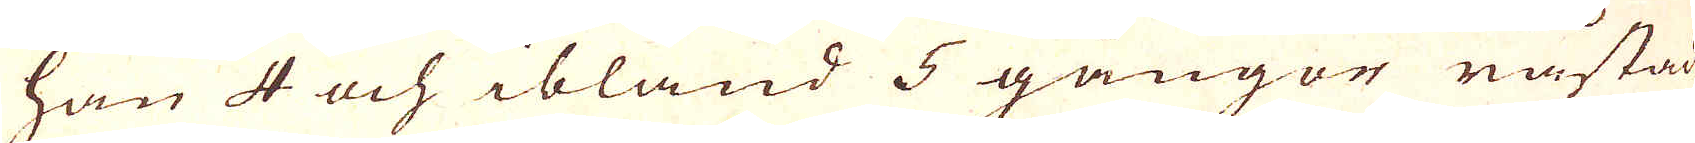han 4 och ibland 5 gångor råstad
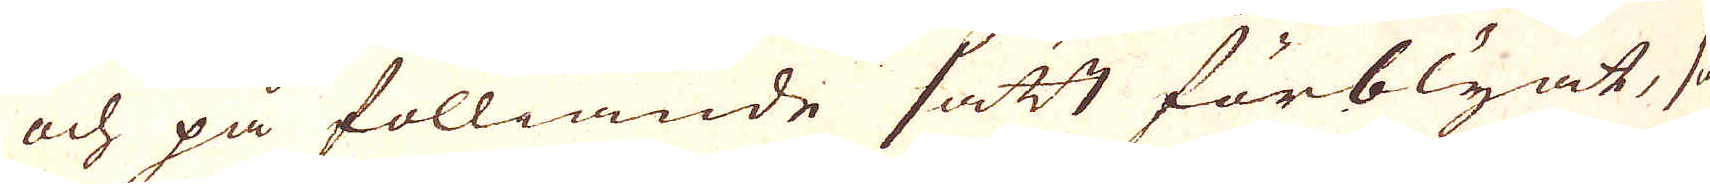och på fölliande sätt förblyat, så-
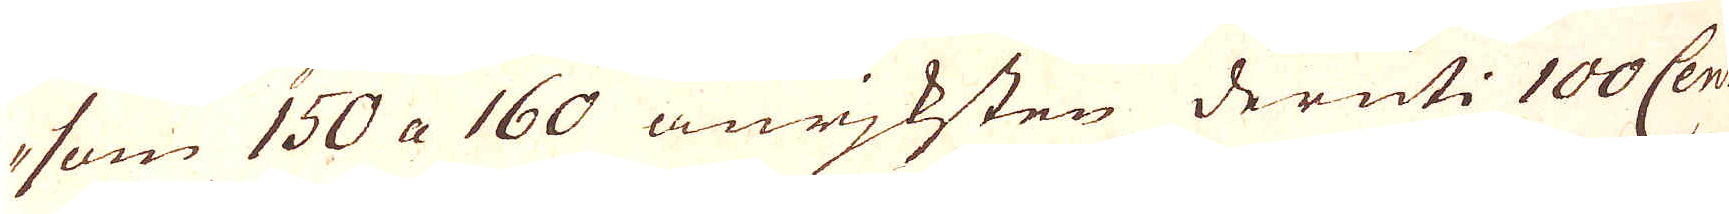som 150 a 160 anrjksten deruti 100 Cent
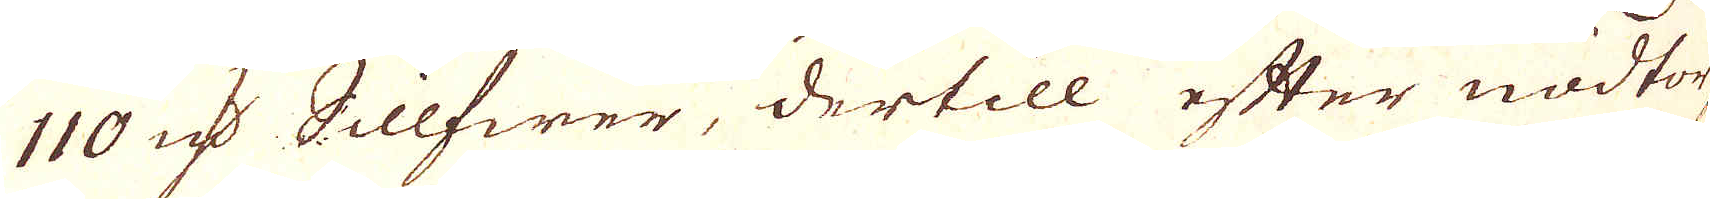110 qv:r Sillfwer, dertill efter nödtorf-
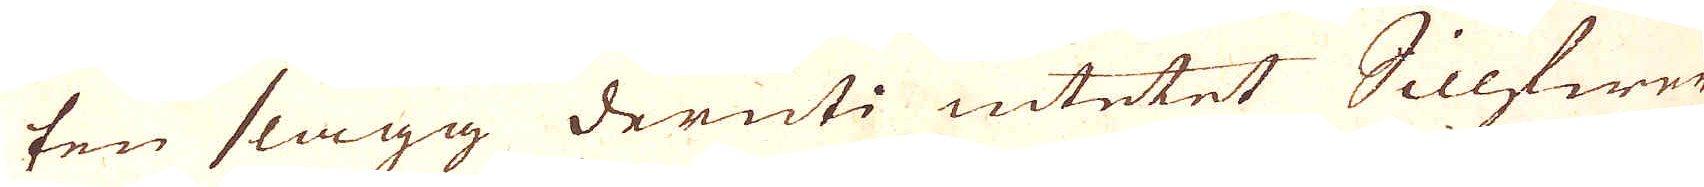ten slagg deruti intetet Sillfwer
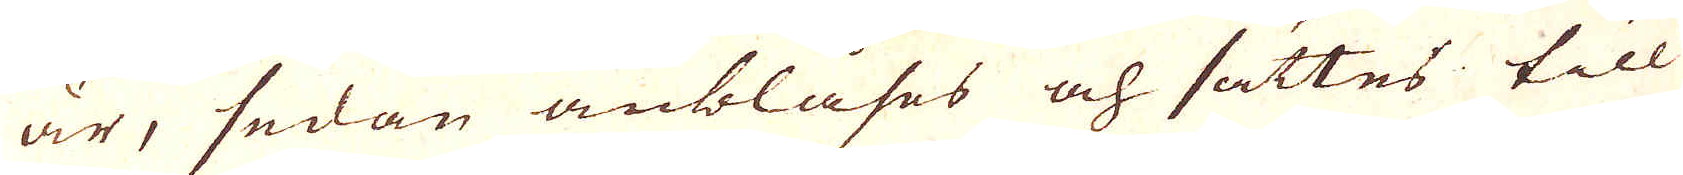är, sedan anblåses och sättes till
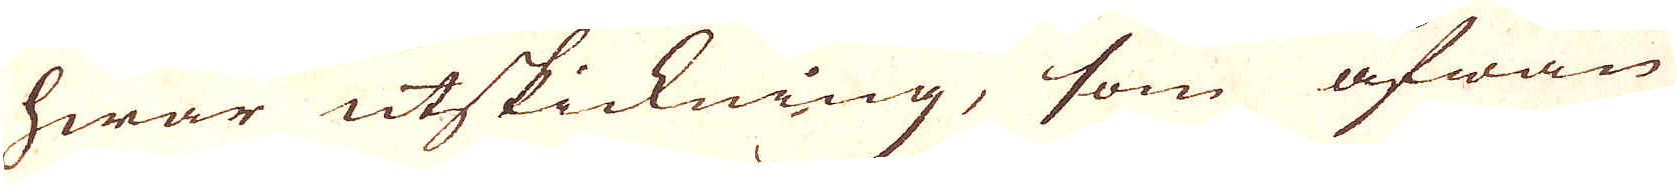hwar utskickning, som äfwan
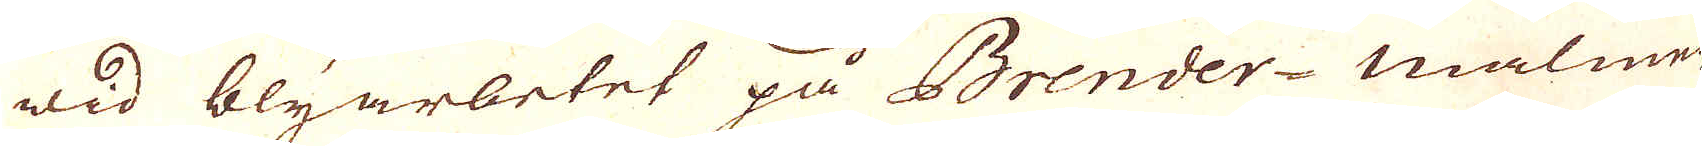wid blyarbetet på Brender-malmen
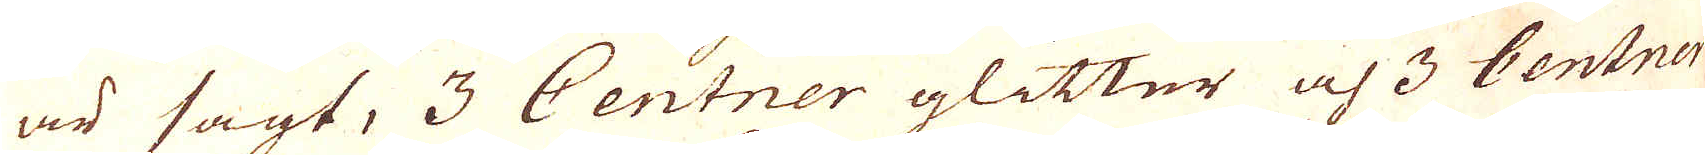är sagt, 3 Centner glitter och 3 Centner
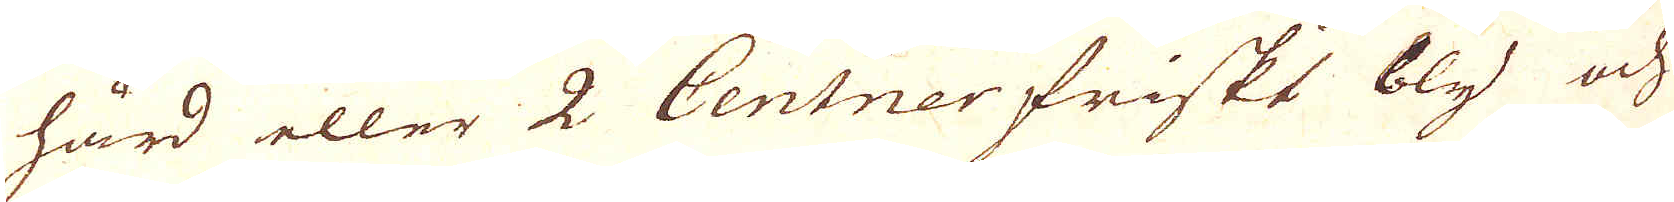hård eller 2 Centner friskt bly och
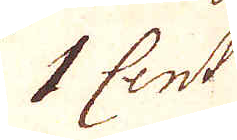1 Cent:r
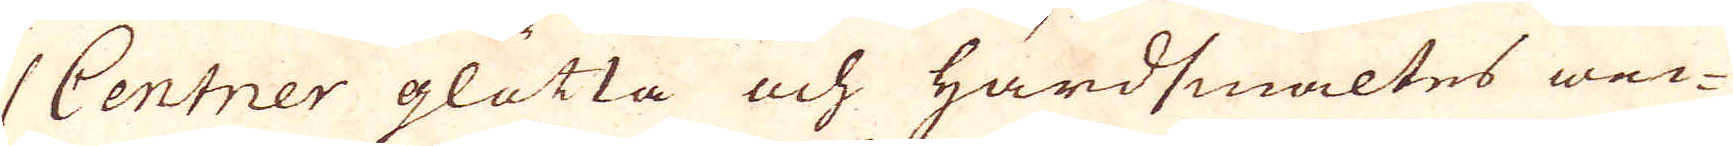1 Centner glätta och hårdsmältes wec-
